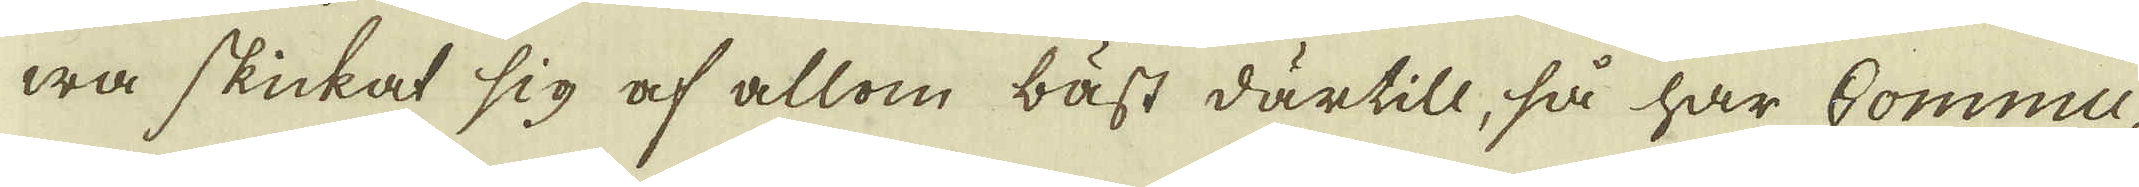wa skickat sig af allom bäst därtill, så har Commu-
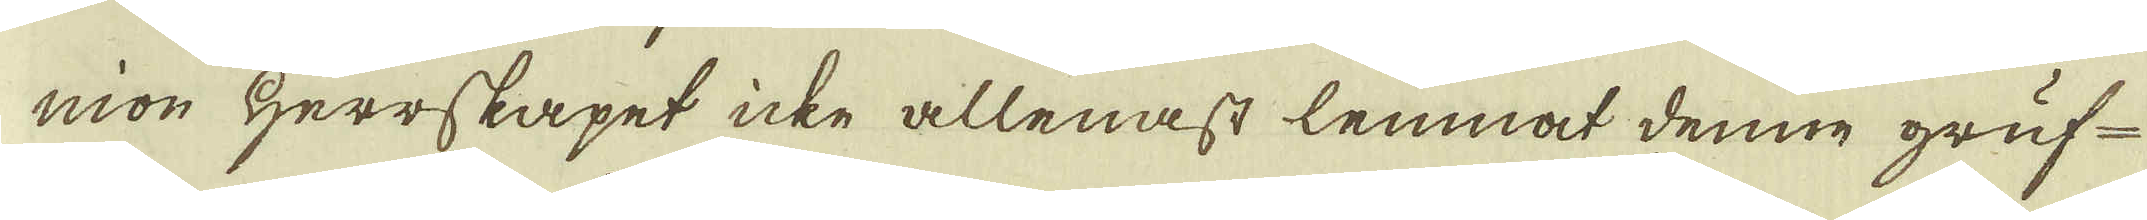nion Herrskapet icke allenast lemnat denne gruf-
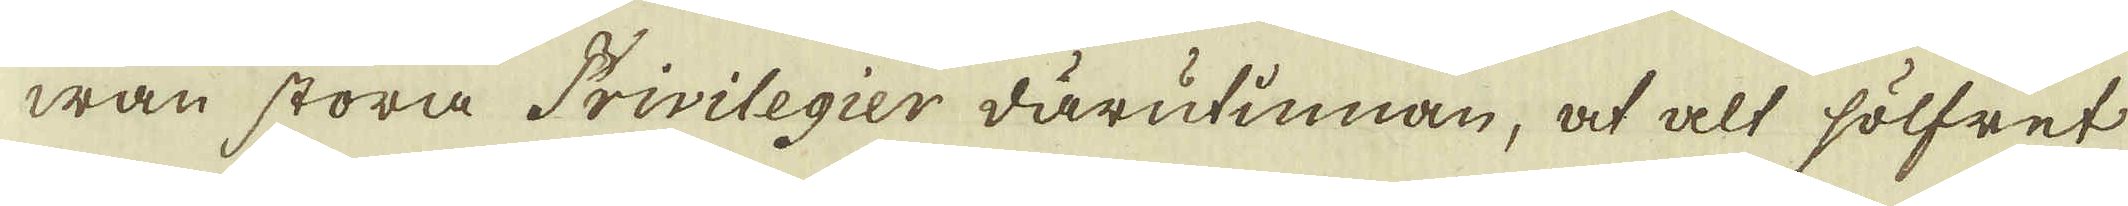wan stora Privilegier därutinnan, at alt sölfret
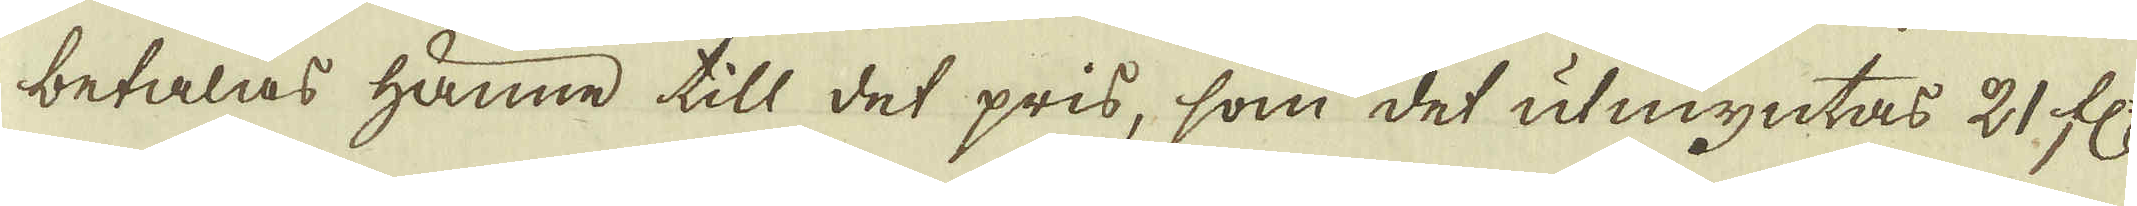betalas hänne till det pris, som det utmyntas 21 fl:
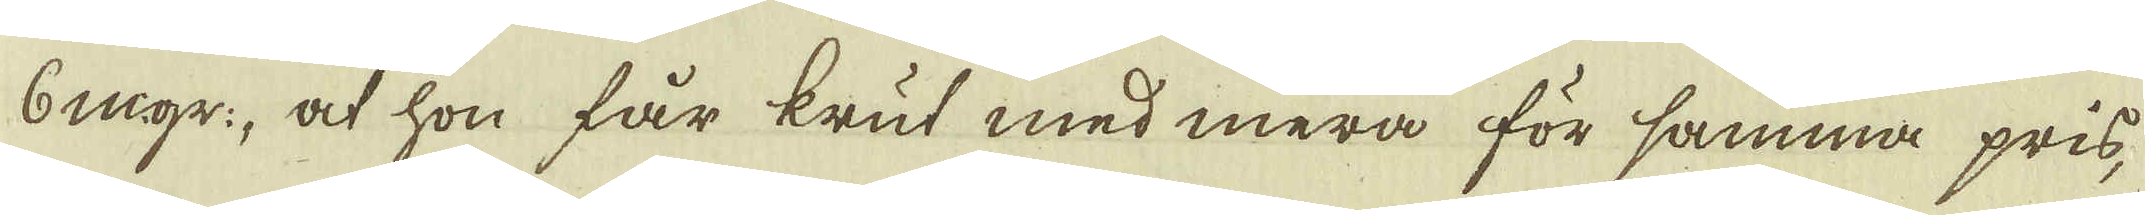6 m:gr:, at hon får krut med mera för samma pris,
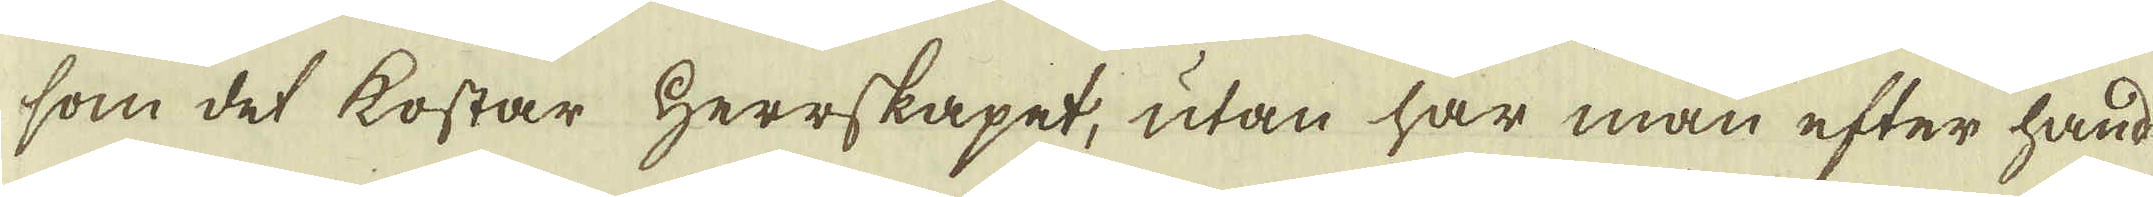som det kostar Herrskapet, utan har man efter hand
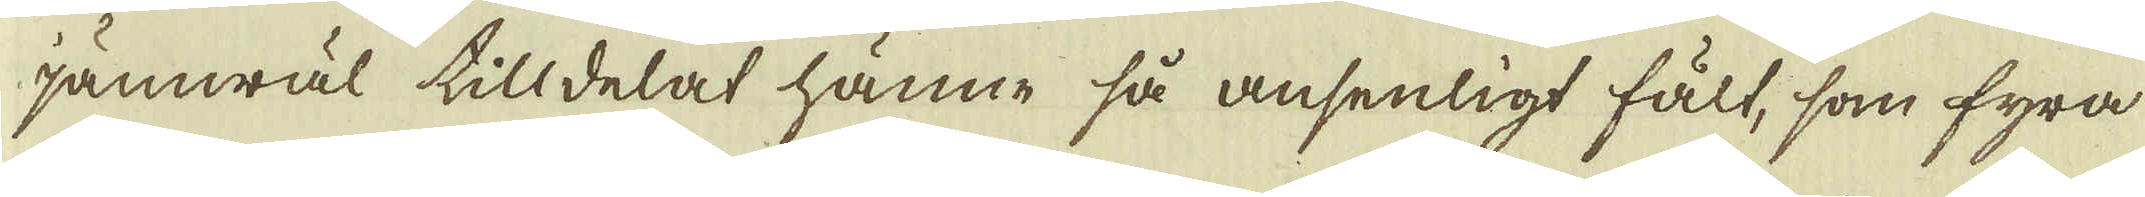jämwäl tilldelat hänne så ansenligt fält, som fyra
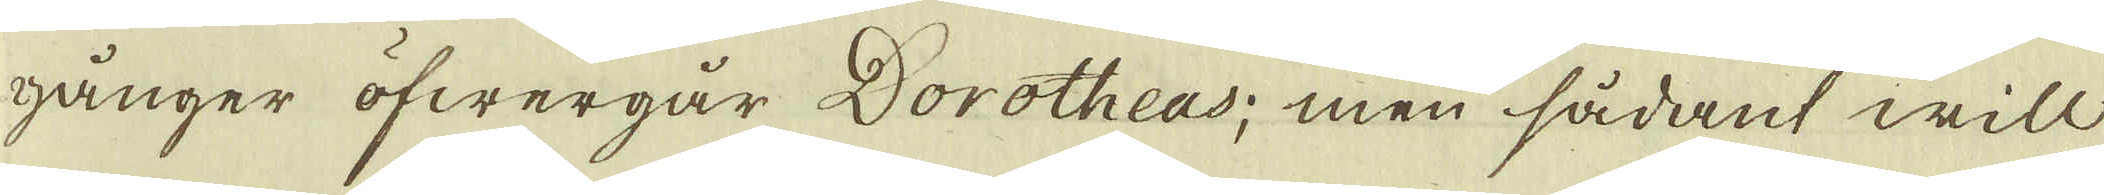gånger öfwergår Dorotheas; men sådant will
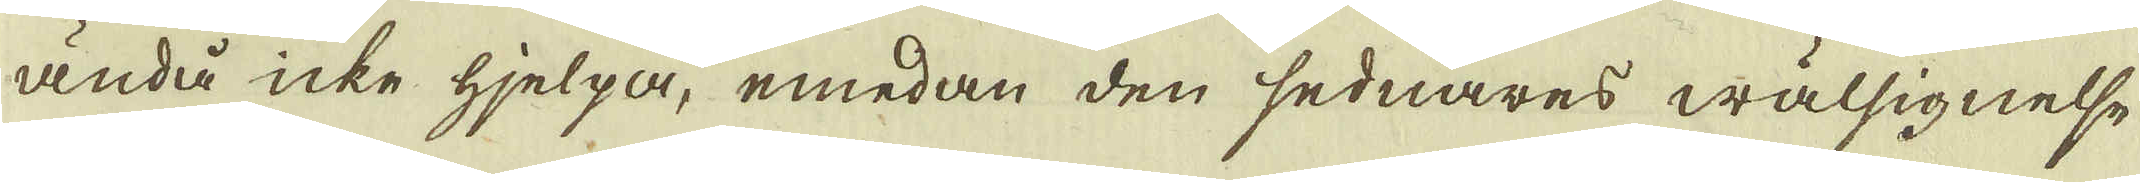ändå icke hjelpa, emedan den sednares wälsignelse
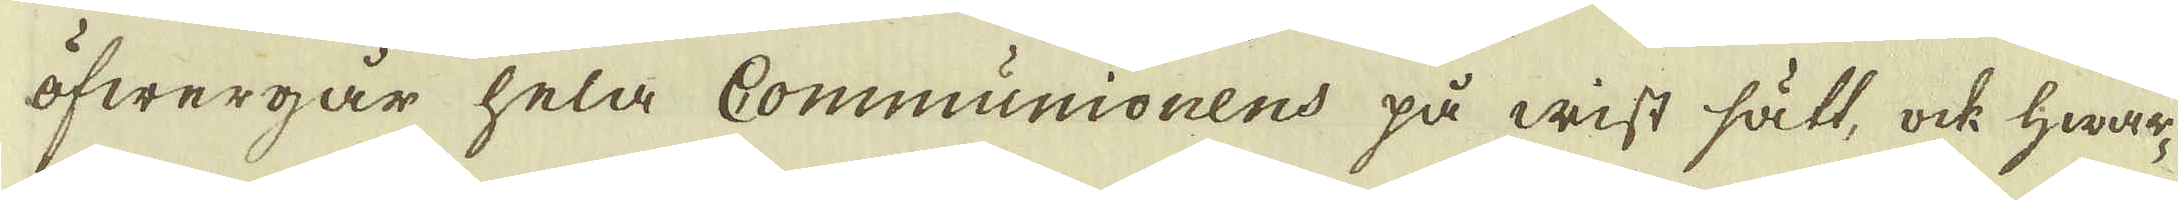öfwergår hela Communionens på wisst sätt, ock hwar-
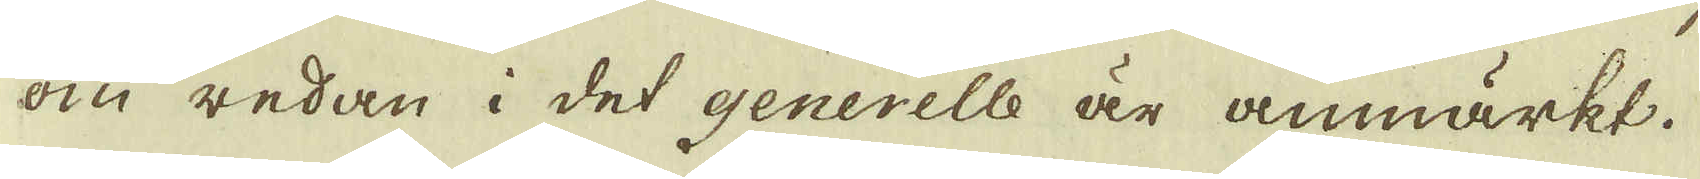om redan i det generelle är anmärkt.
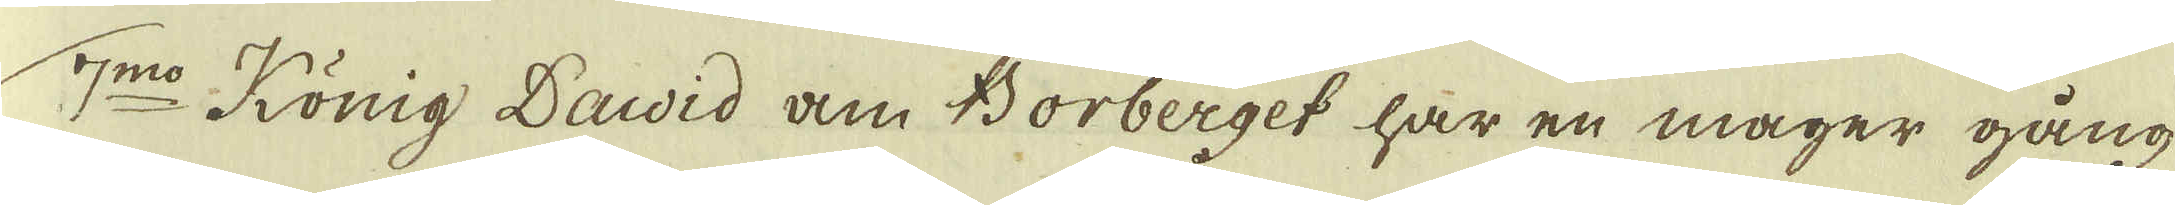7:mo König David am Borberget har en mager gång
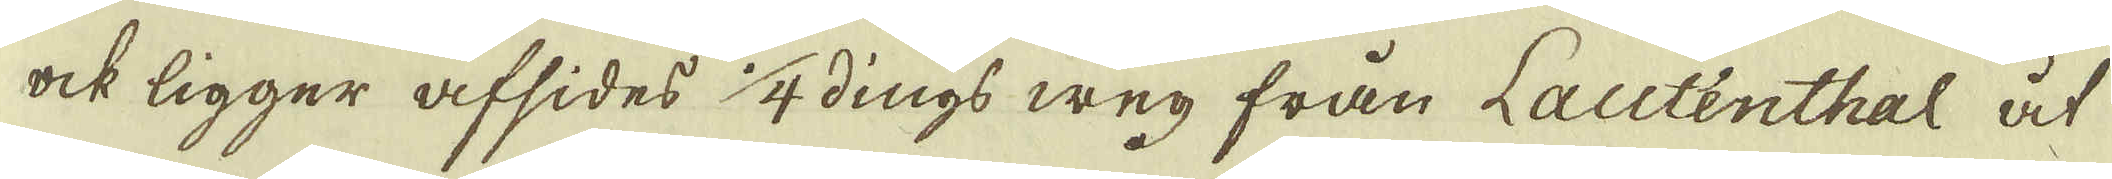ock ligger afsides 1/4 dings weg från Lautenthal åt
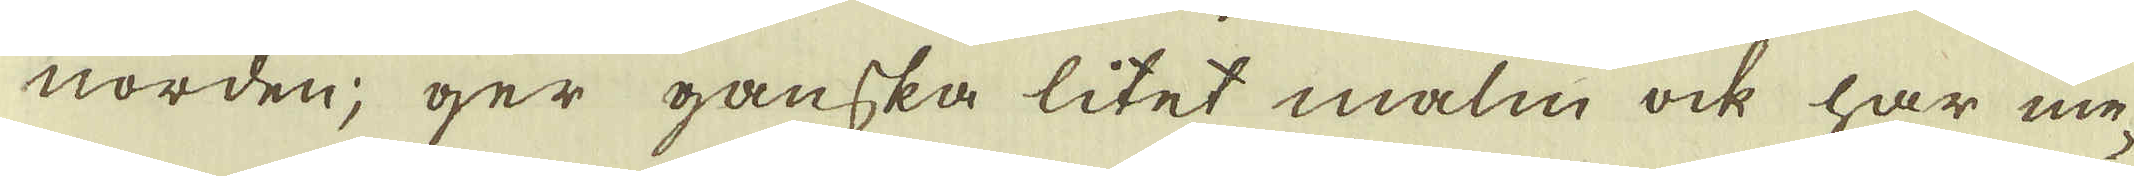norden; ger ganska litet malm ock har me-
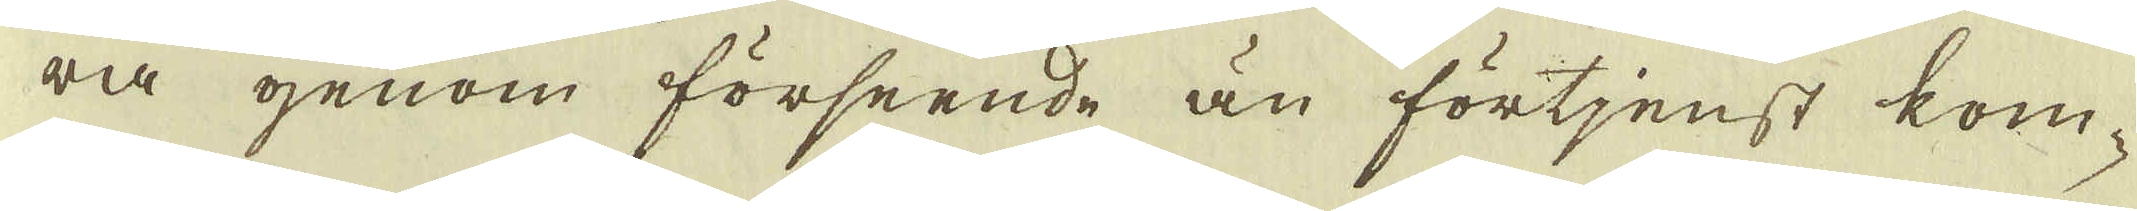ra genom förseende än förtjenst kom-
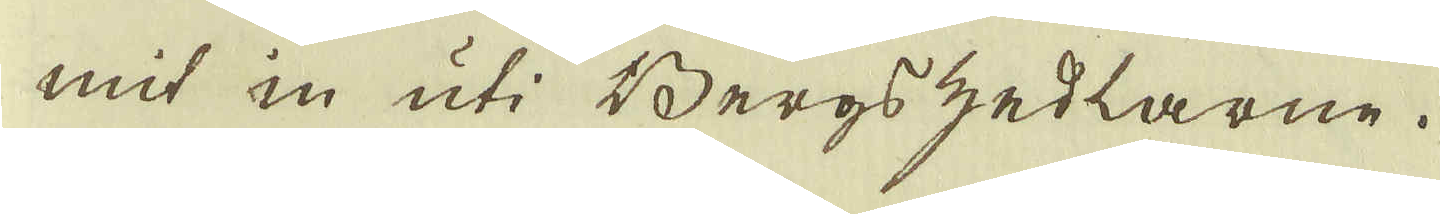mit in uti Bergszedlarne.
